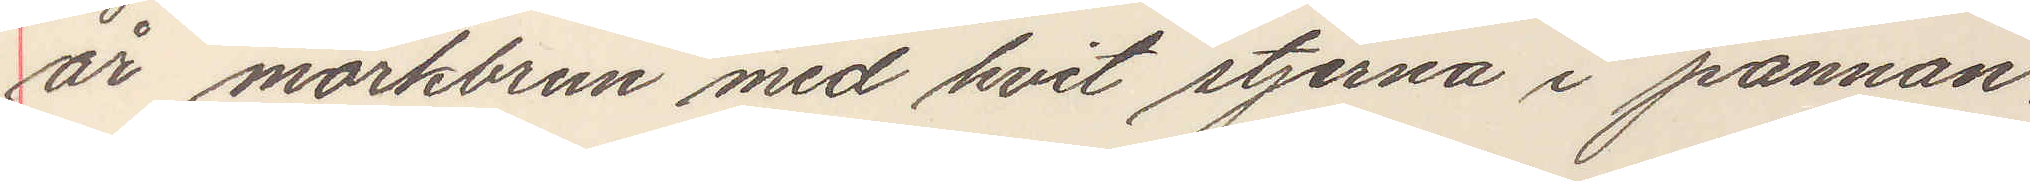år mörkbrun, med hvit stjerna i pannan.
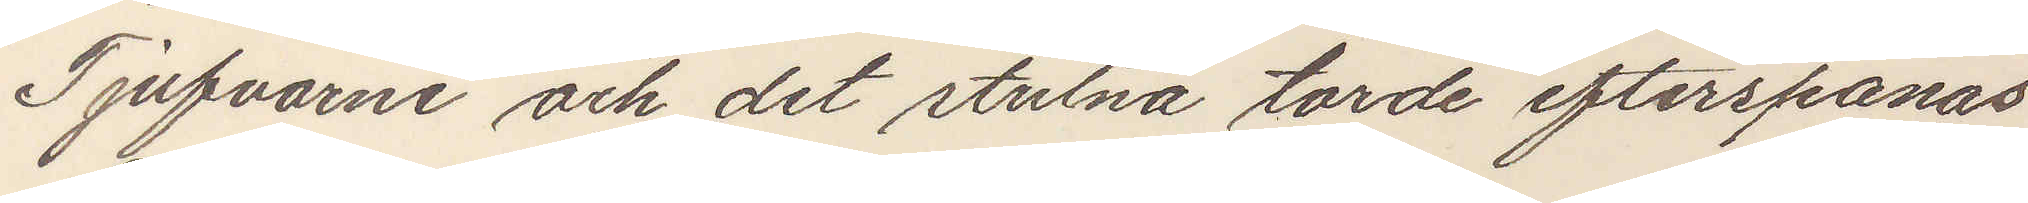Tjufvarne och det stulna torde efterspanas
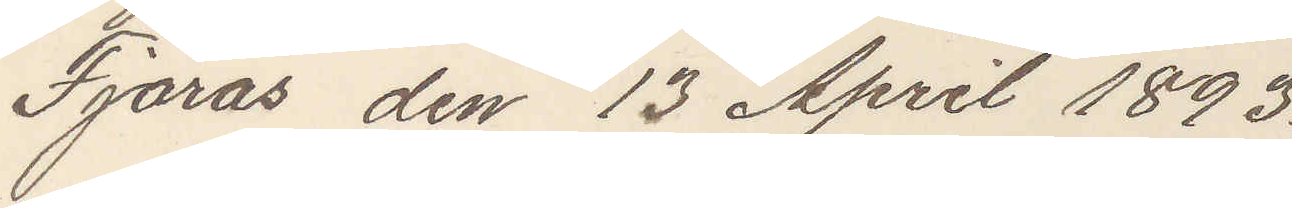Fjärås den 13 April 1893.
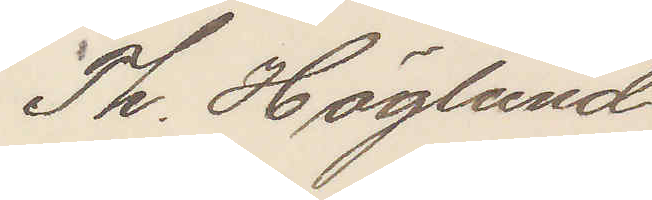Th. Höglund
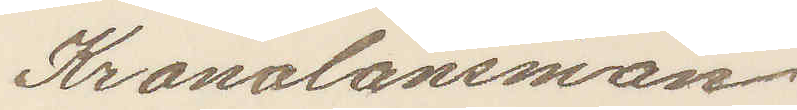Kronolänsman.
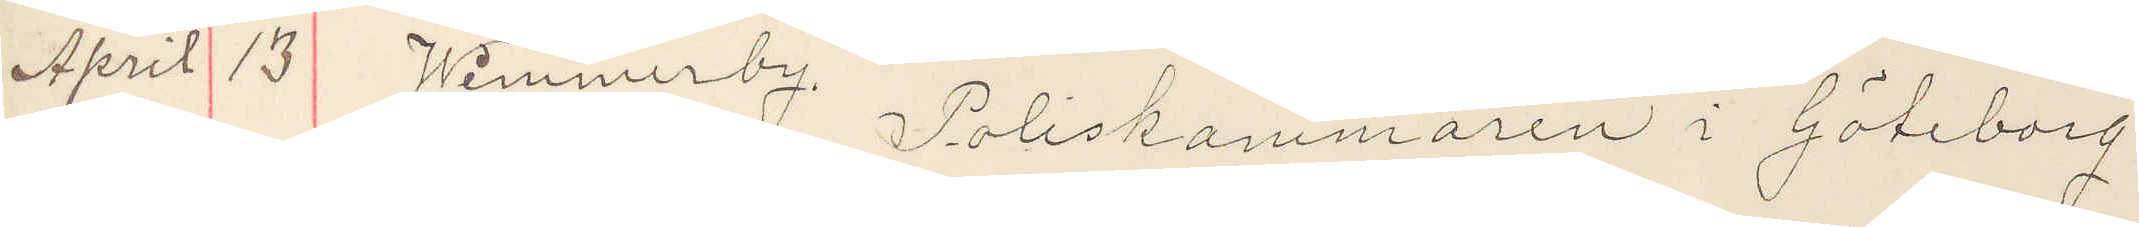April 13 Wimmerby. Poliskammaren i Göteborg.
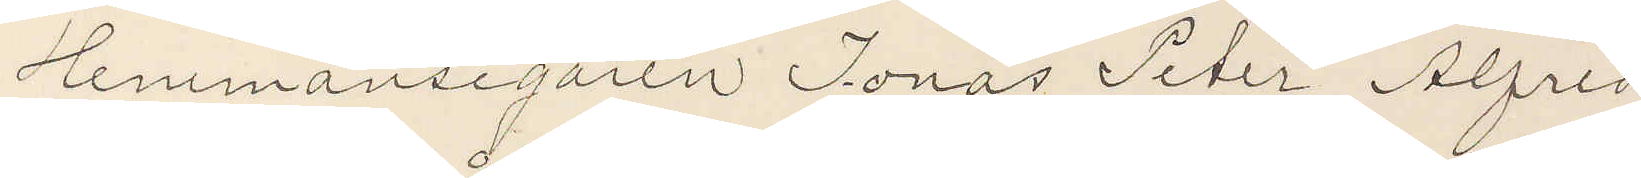Hemmansegaren Jonas Peter Alfred
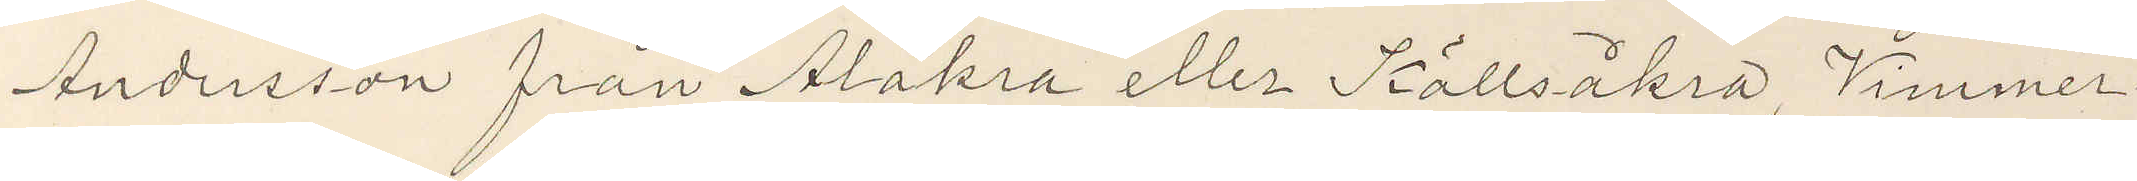Andersson från Alåkra eller Källsåkra, Vimmer¬
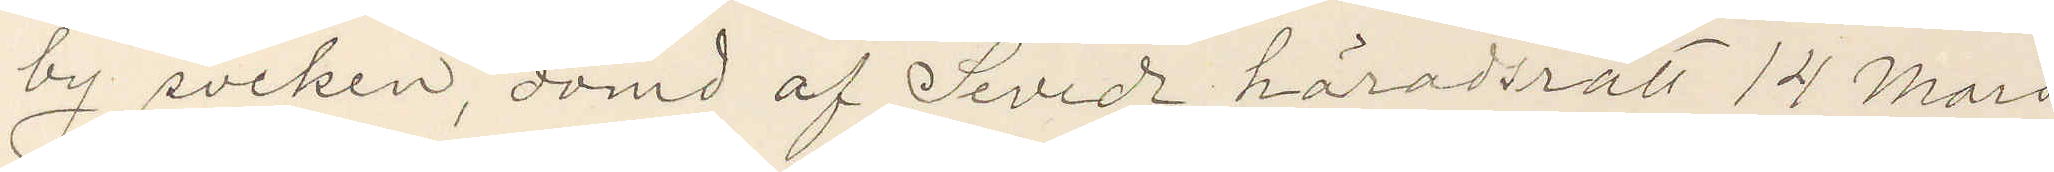by socken, dömd af Seveds häradsrätt 14 Mars
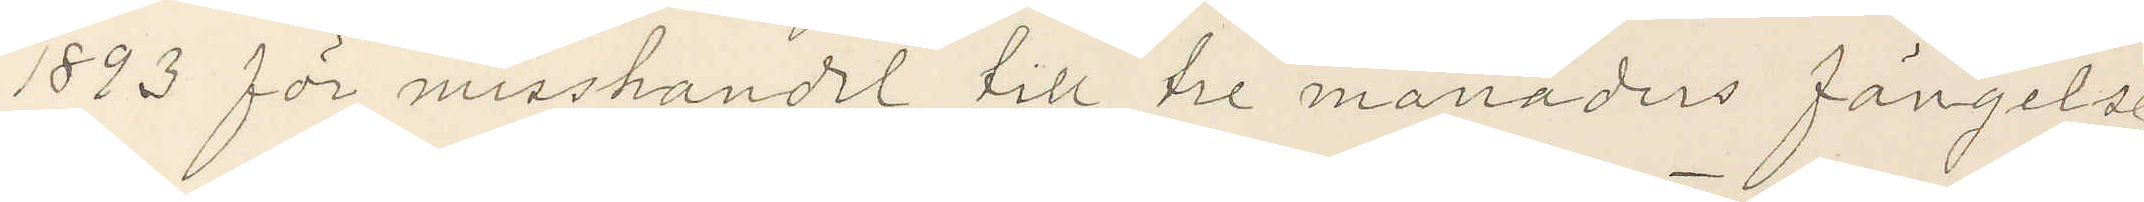1893 för misshandel till tre månaders fängelse
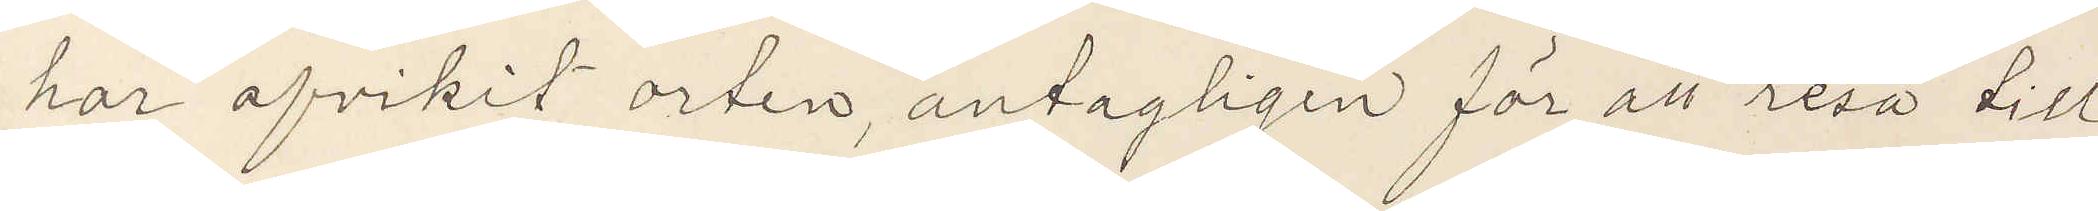har afvikit orten, antagligen för att resa till
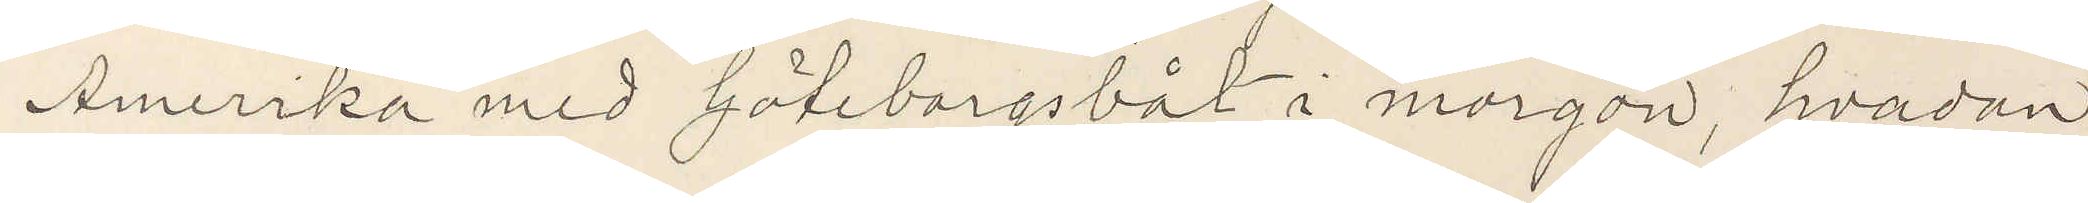Amerika med Göteborgsbåt i morgon hvadan
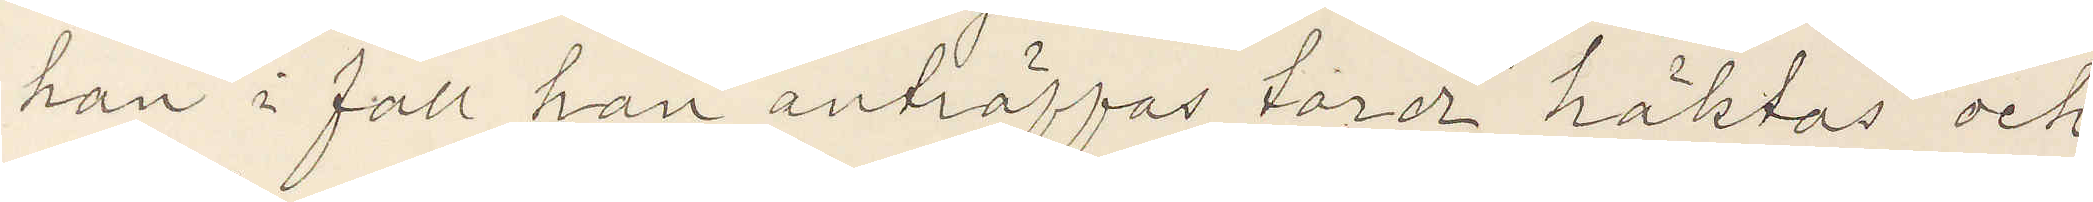han i fall han anträffas torde häktas och
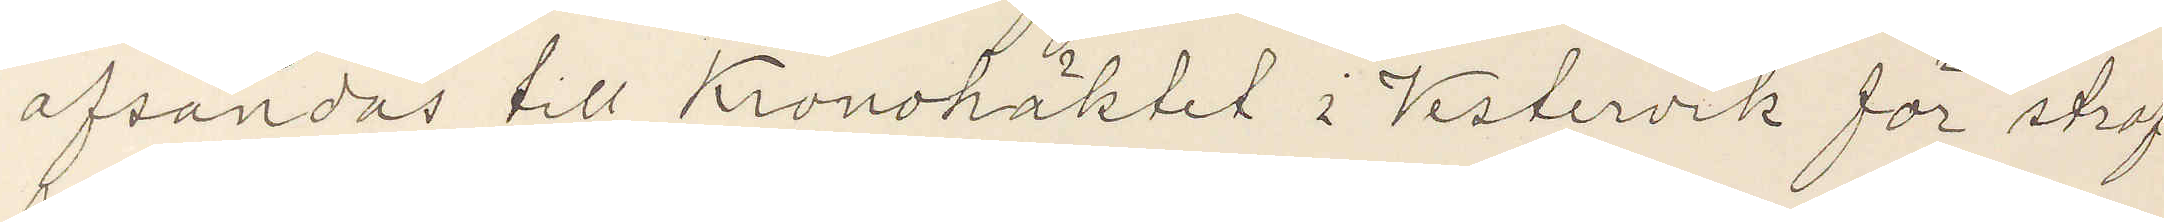afsändas till Kronohäktet i Vestervik för straf¬
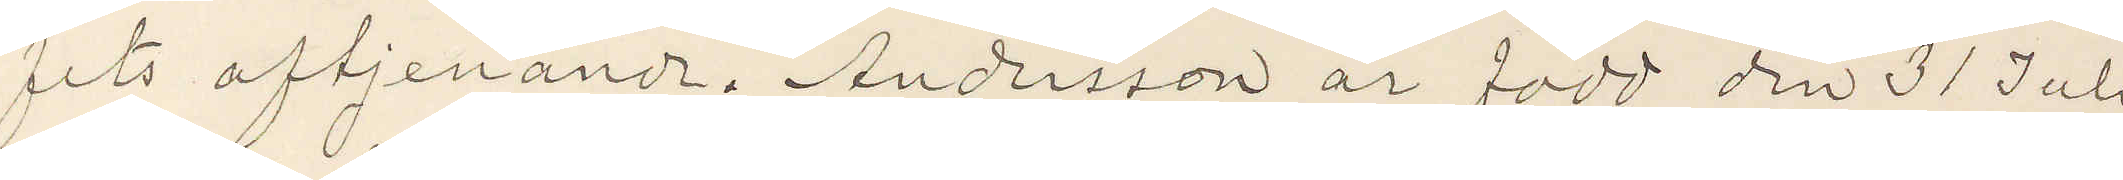fets aftjenande. Andersson är född den 31 Juli
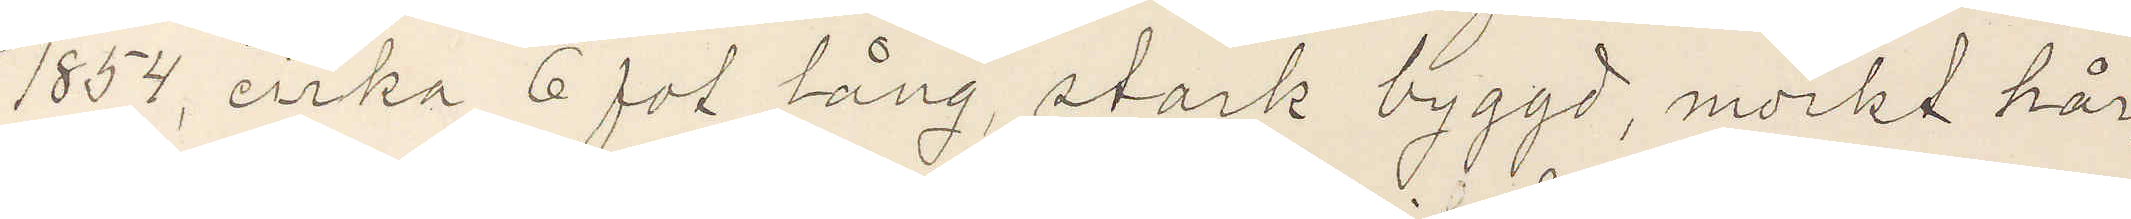1854 cirka 6 fot lång, stark byggd, mörkt hår,
